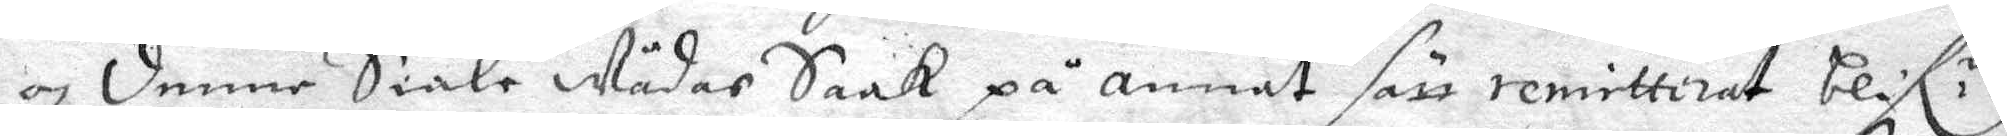och denne Siäle Wådar Saak på annat sätt remitterat blif.r
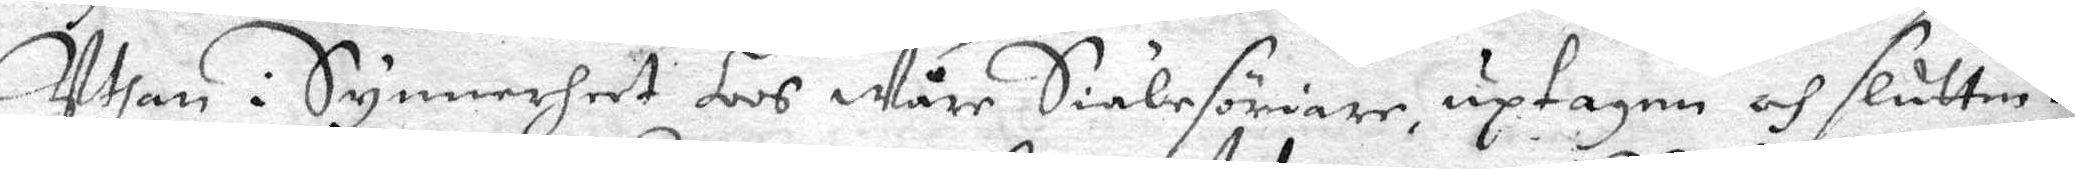Uthan i Synnerheet hos Wåre Siälesöriare, uptagen och sluttni.
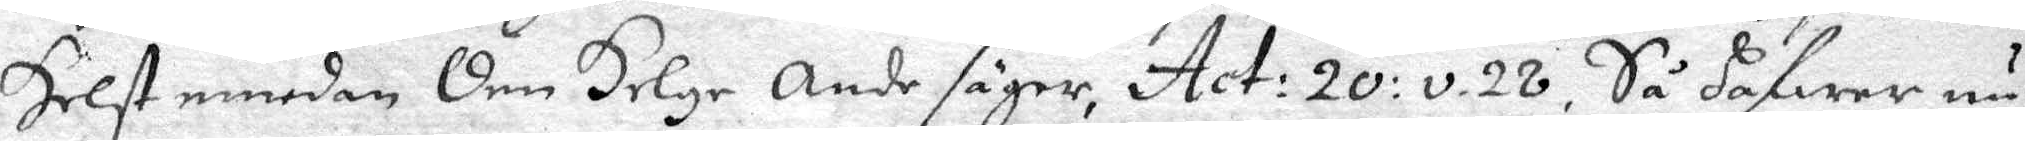Helst emedan den Helge Ande säger, Act. 20: o. 28, Så hafwer nu
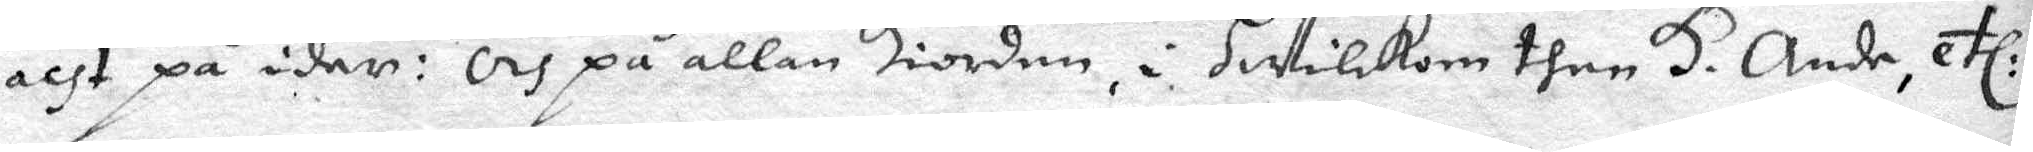acht på ider: Och på allan Hiorden, i Hwilkom then H. Ande, etc:
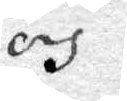och
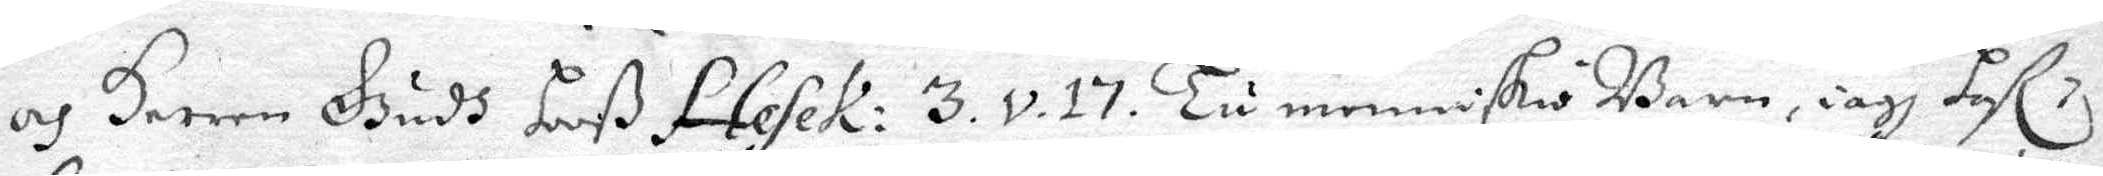och Herren Gudh hoß Fateher: 3. v. 17. Tu menniskio Barn, iagh Haf
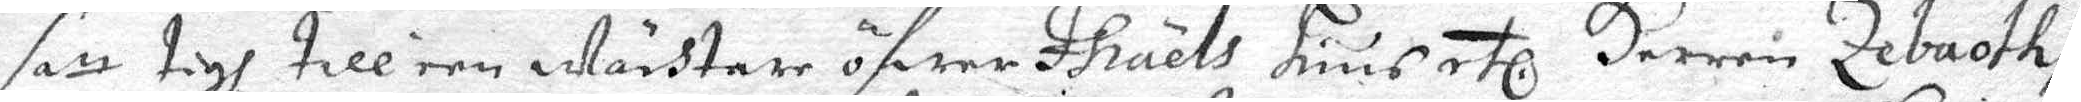satt tigh till een wächtare öfwer Israels Huus etc Herren Zebaoth,
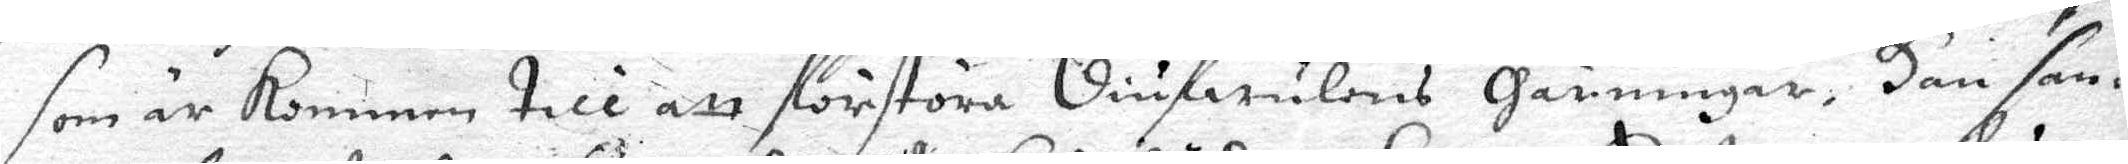som är kommen till att förstöra Diufwulens Gärningar, Han sän¬
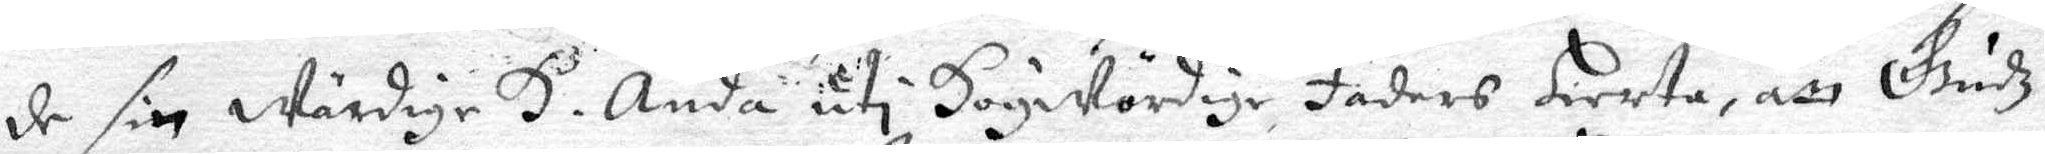de sin wärdige H. Ande uti Högwördige, Faders Hierta, att Gudz
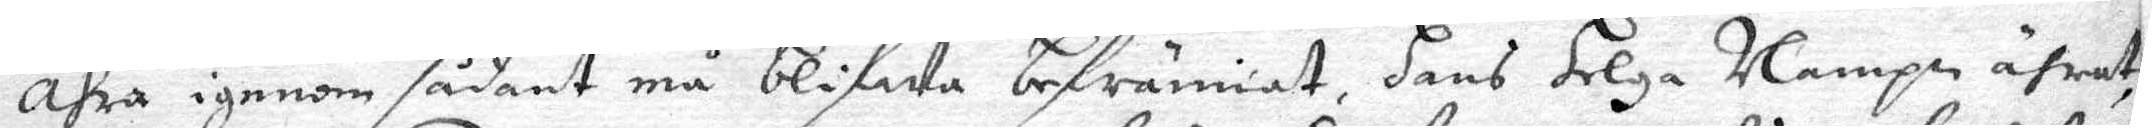Ähra igenom sådant må blifwa befrännat, hans Helga Nampn ährat
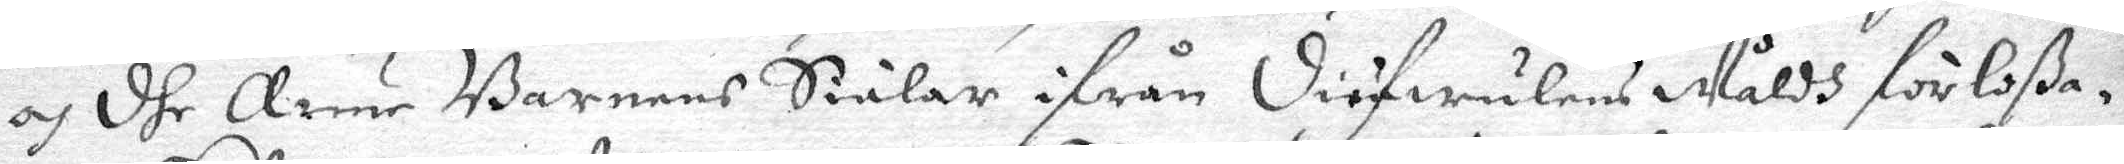och dhe Arme Barnens Siälar ifrån Diäfwulens Wåldh förlåßa¬
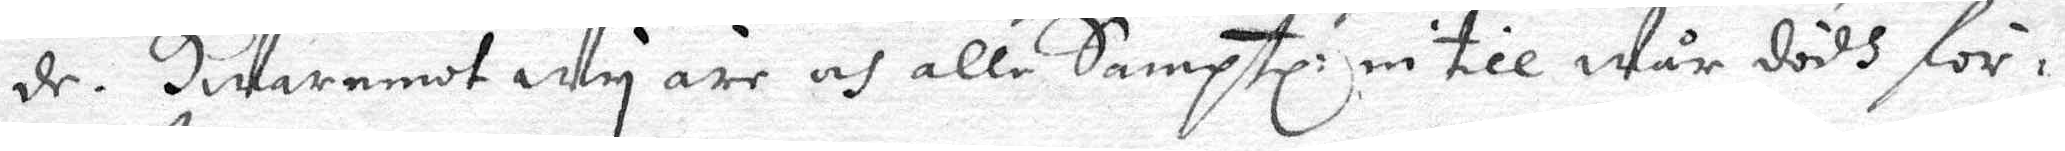de. Hwaremot Wy äre och alle Samptl: in till Wår dödh för¬
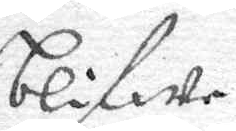blifwe
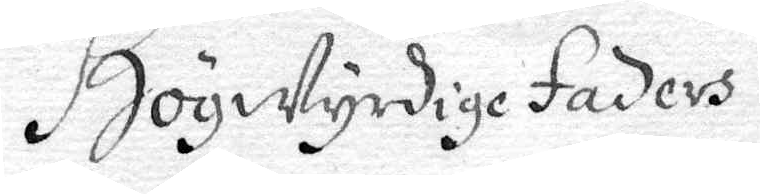Högwyrdige Faders
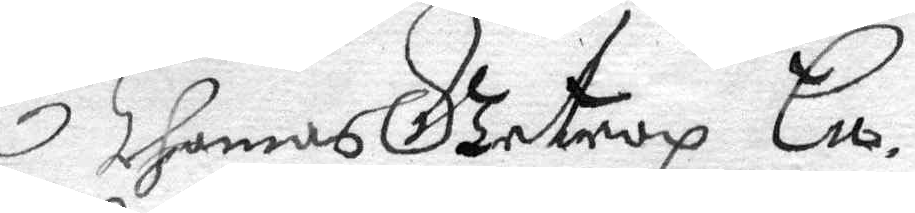Thomas Getrop En¬
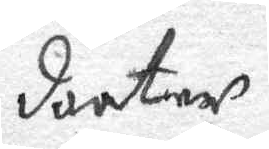daater
